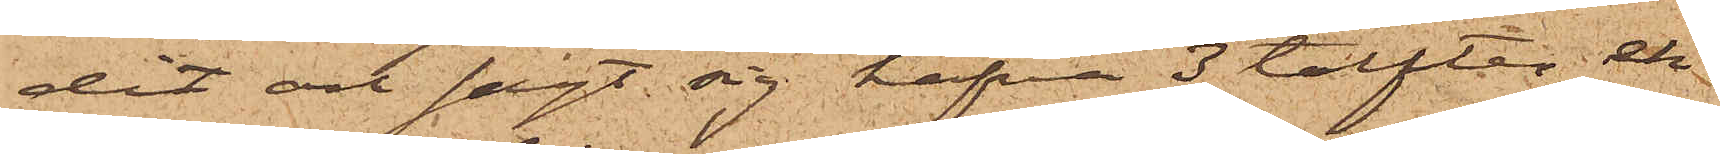dit och sagt sig hafva 3 tolfter ek¬
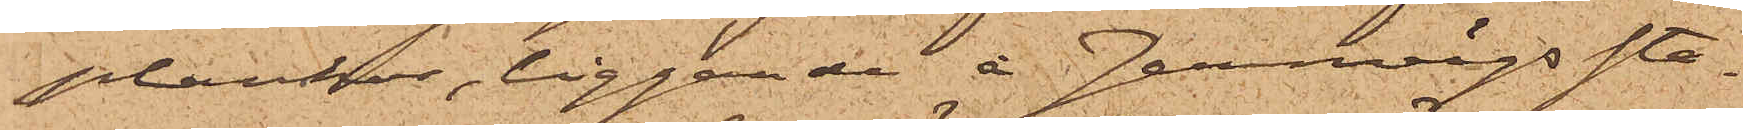plankor, liggande å Jernvägssta¬
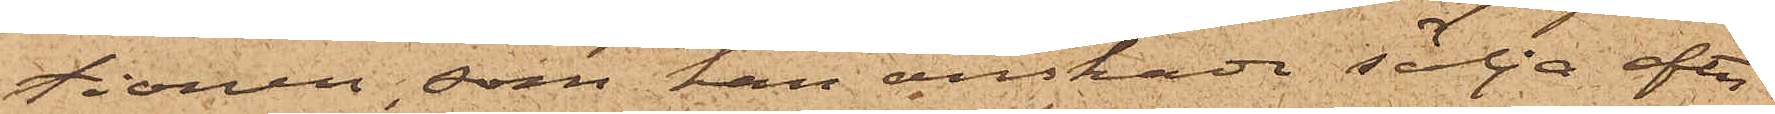tionen, som han önskade sälja efter
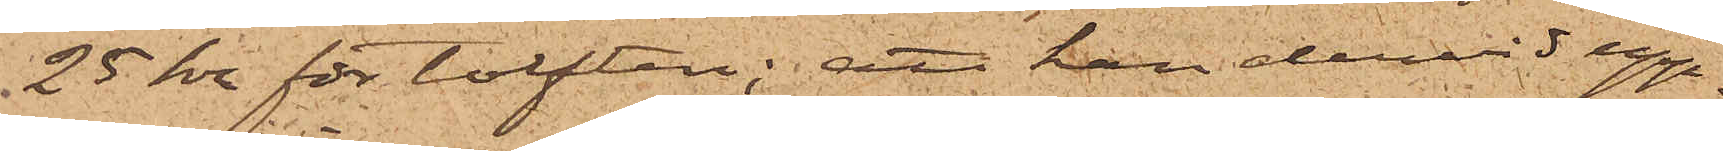25 kr för tolften; att han dervid upp¬
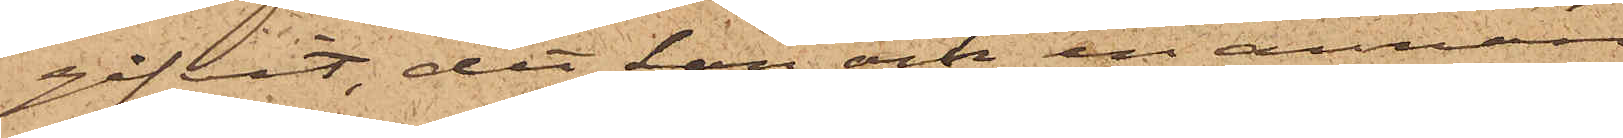gifvit, det han och en annan
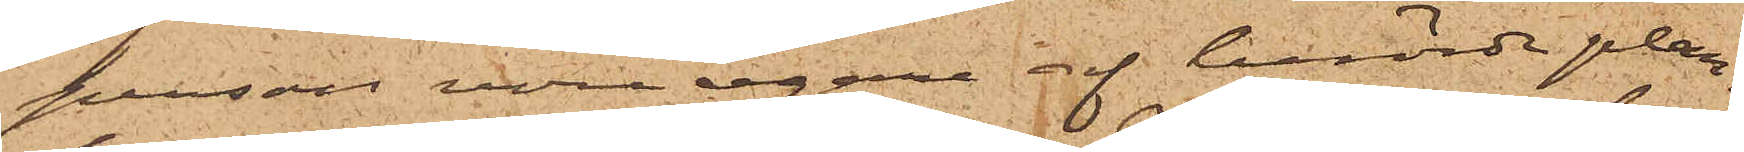person vore egare af berörde plan¬
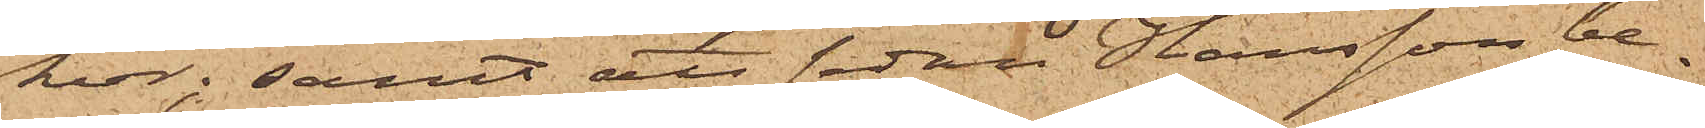kor; samt att sedan Hansson be¬
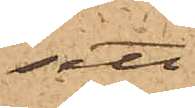sett
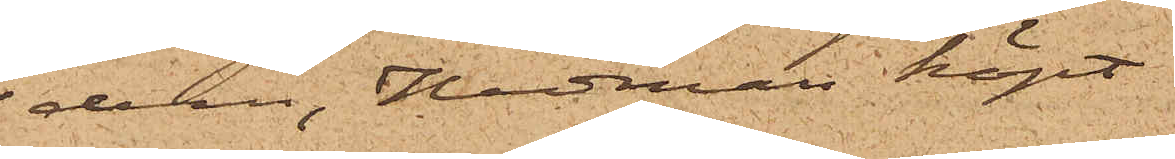dem, Hedman köpt
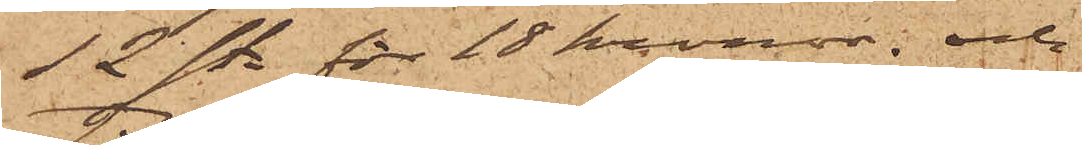12 st. för 18 kronor; och
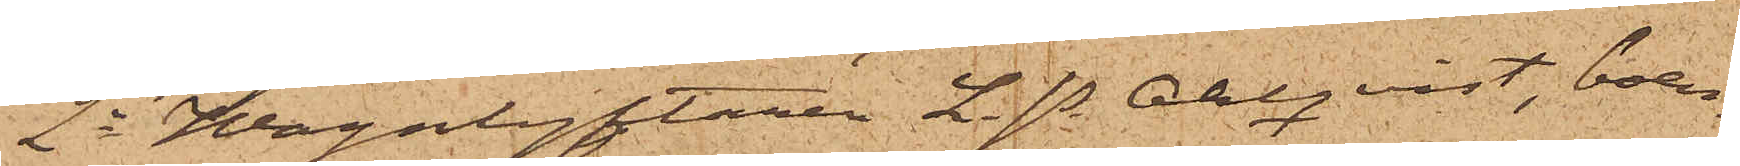2o Wagnlyftaren L. P. Ahlqvist, boen¬
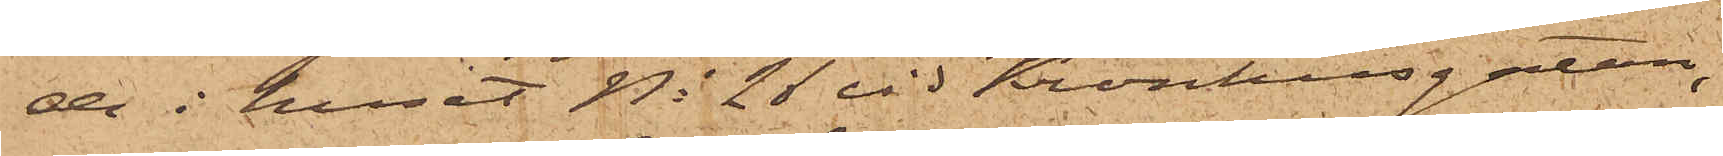de i huset No 26 vid Kronhusgatan,
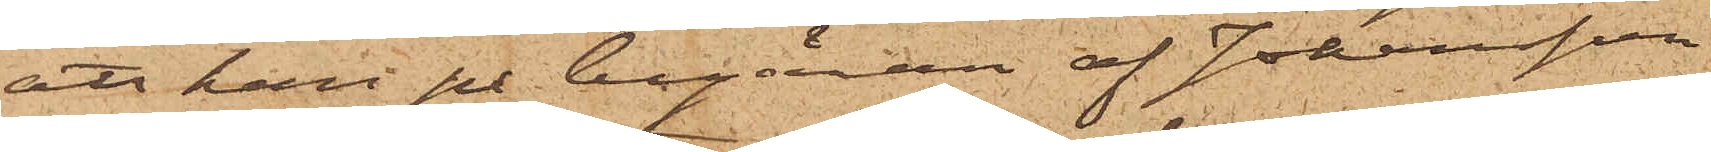att han på begäran af Johansson
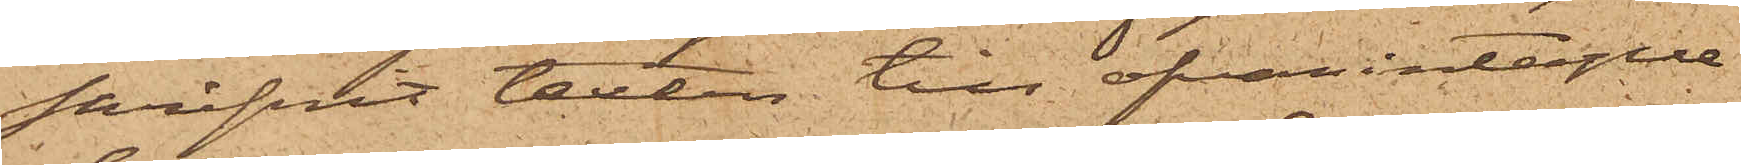skrifvit texten till ofvan intagne
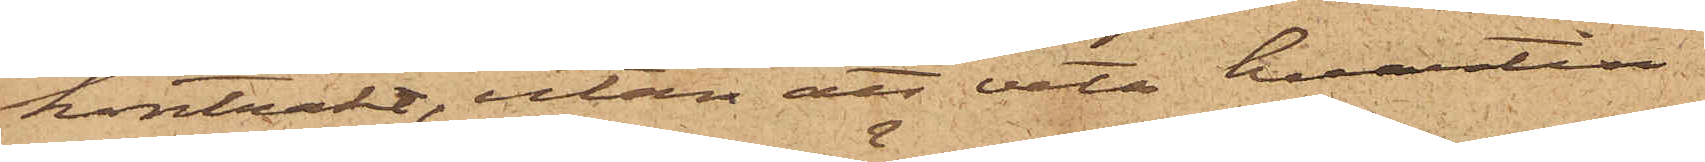kontrakt, utan att veta, hvartill¬
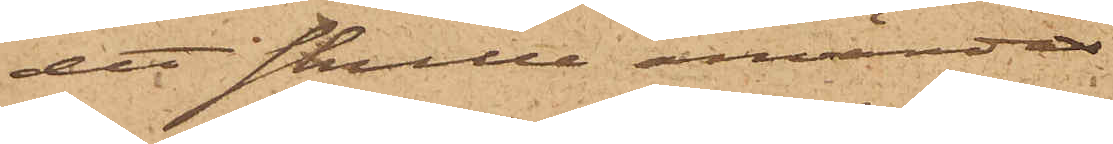det skulle användas.
